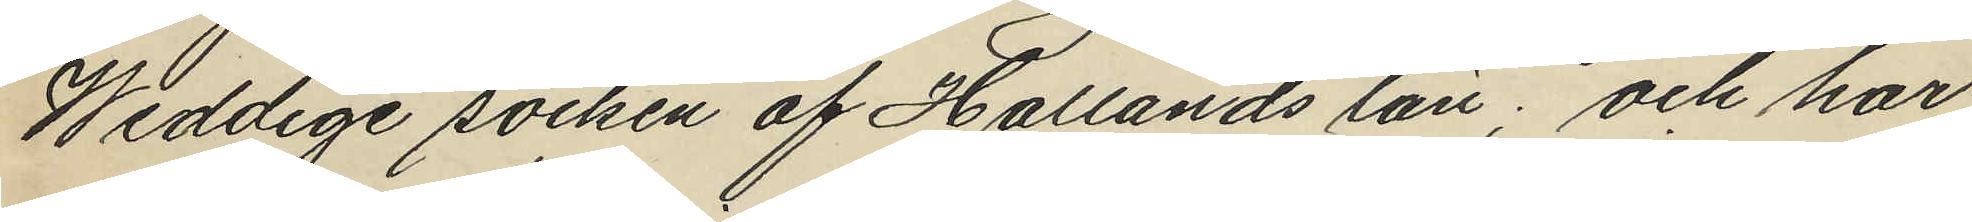Weddige socken af Hallands län; och har
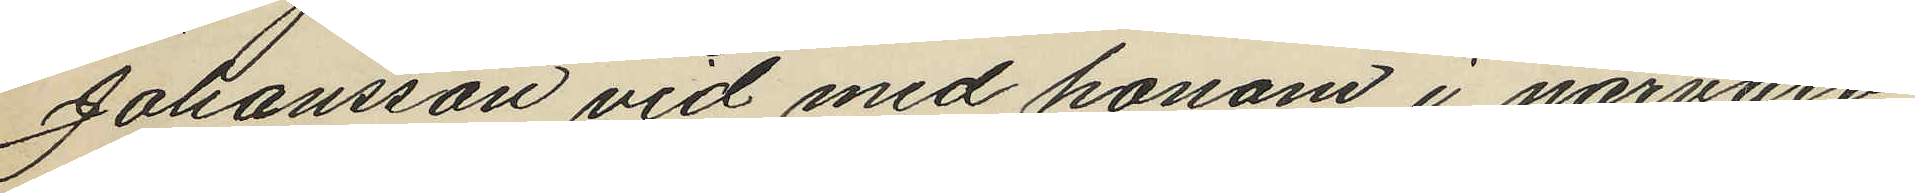Johansson vid med honom i närvaro
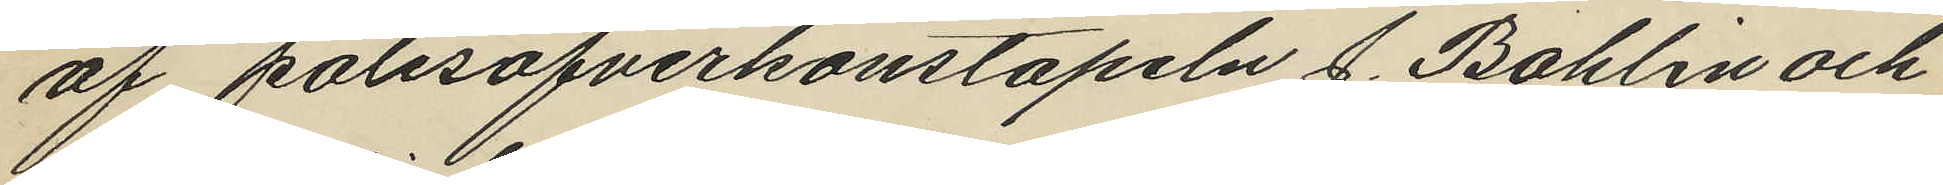af polisöfverkonstapeln J. Bohlin och
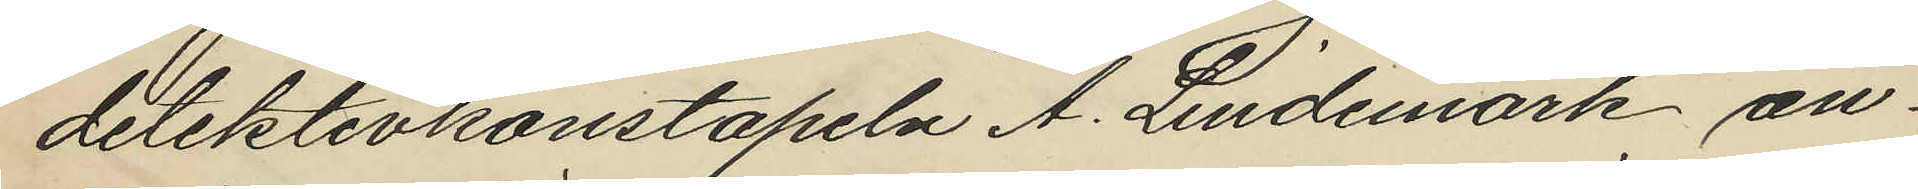detektivkonstapeln A. Lindemark an¬
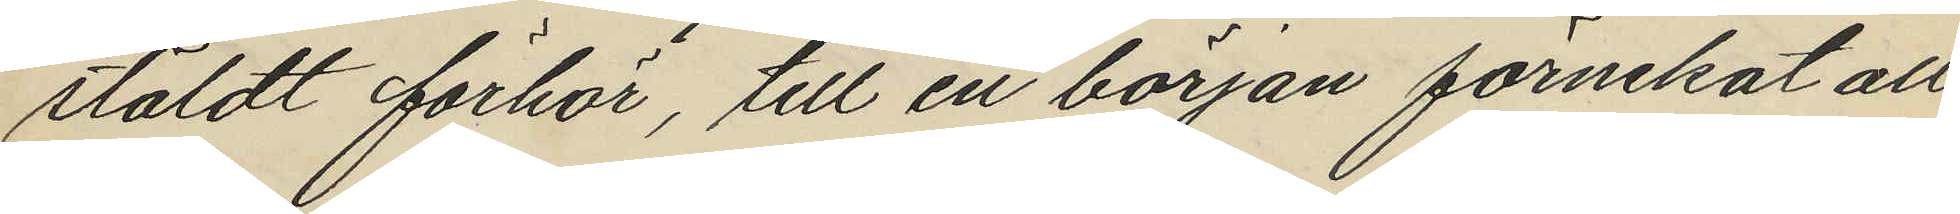stäldt förhör, till en början förnekat all
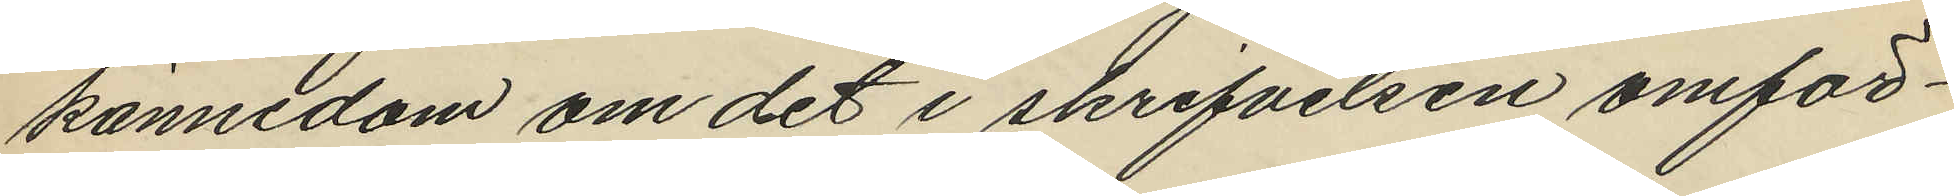kännedom om det i skrifvelsen omför¬
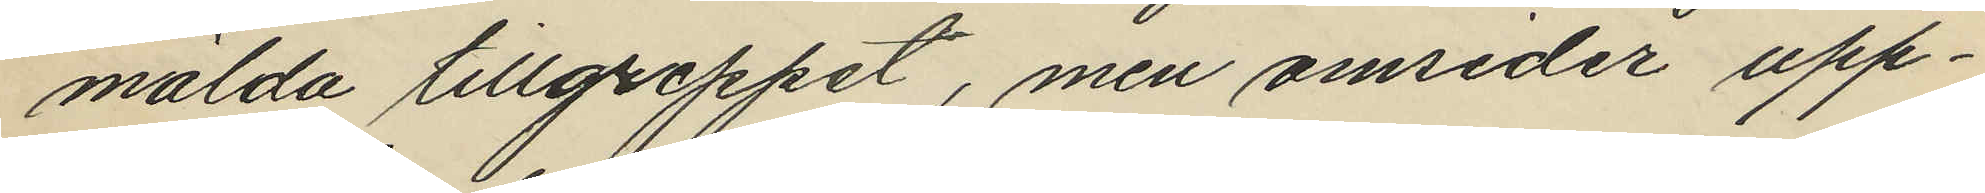mälda tillgreppet, men omsider upp¬
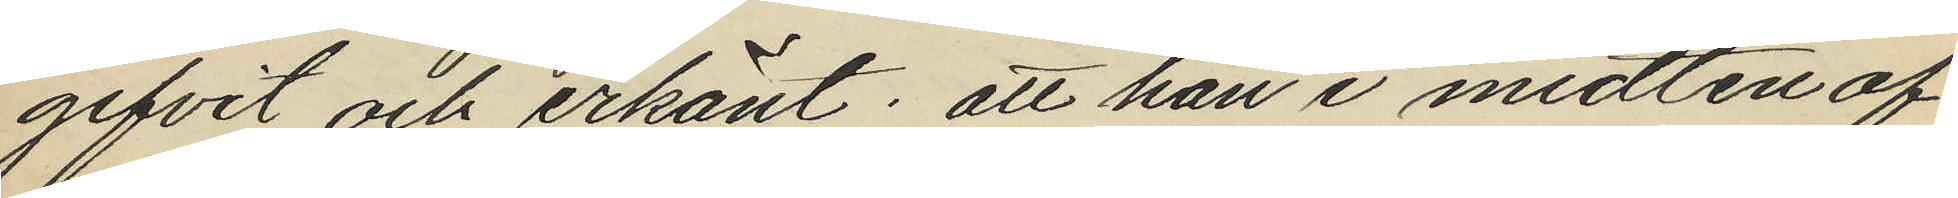gifvit och erkänt; att han i midten af
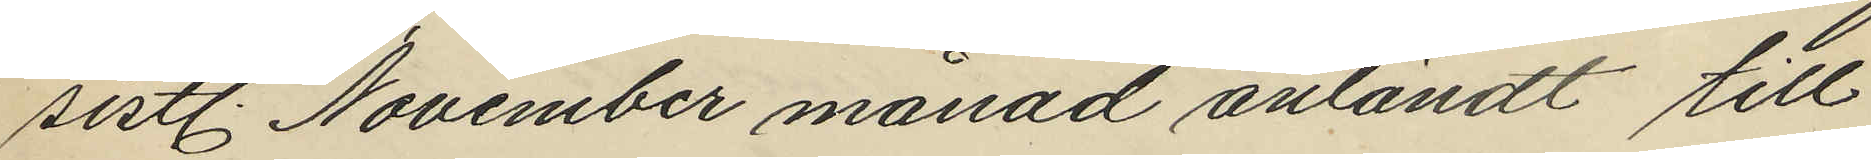sistl. November månad anländt till
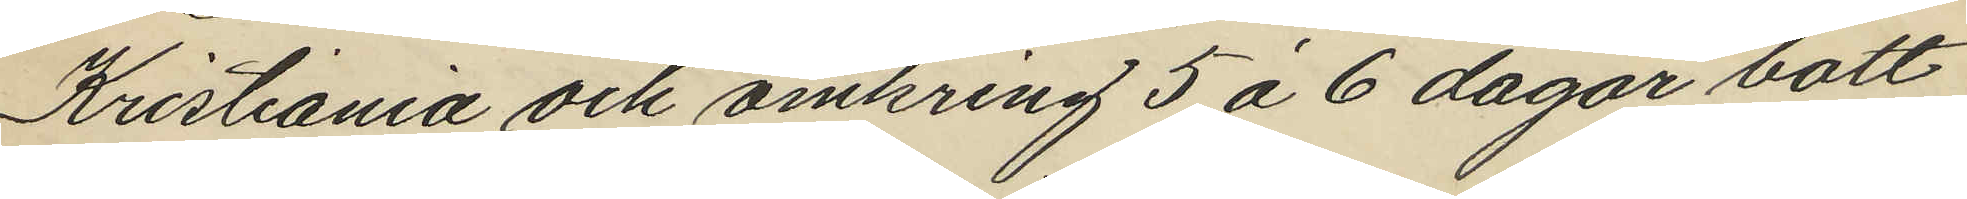Kristiania och omkring 5 á 6 dagar bott
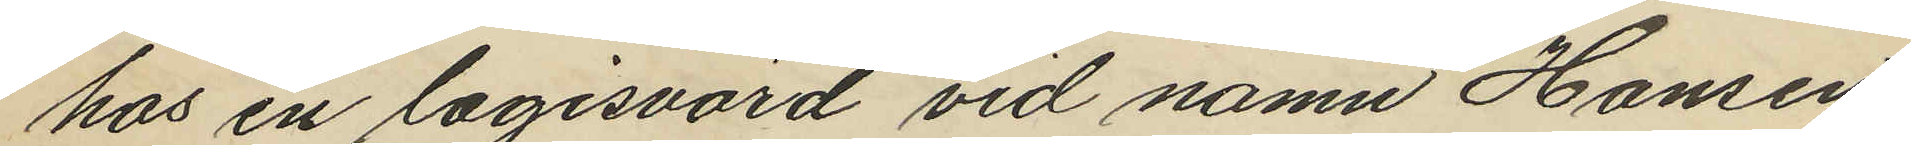hos en logisvärd vid namn Hansen
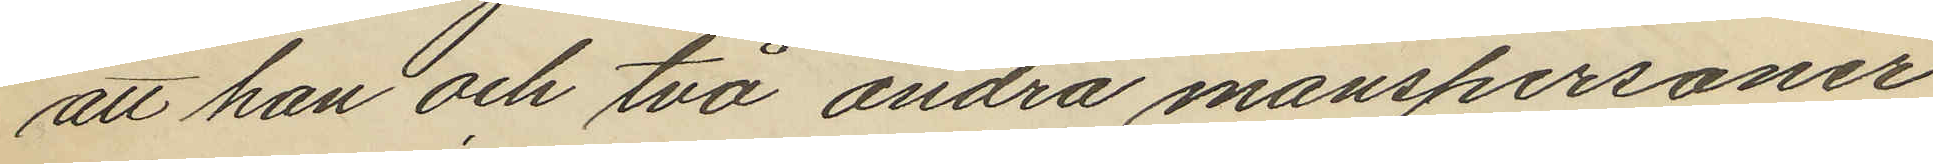att han och två andra manspersoner
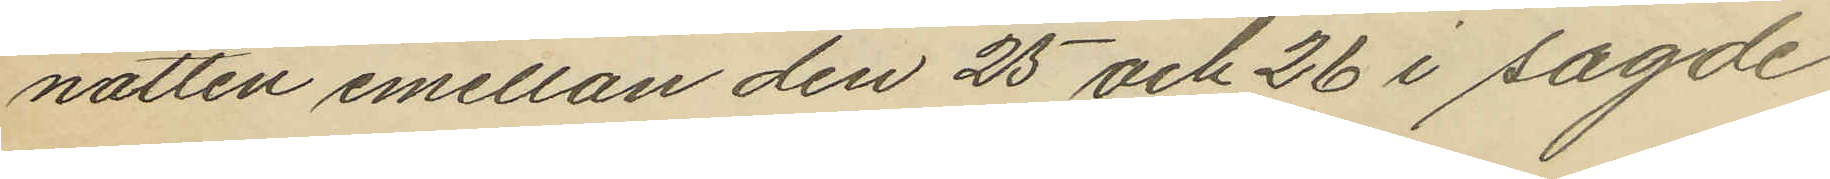natten emellan den 25 och 26 i sagde
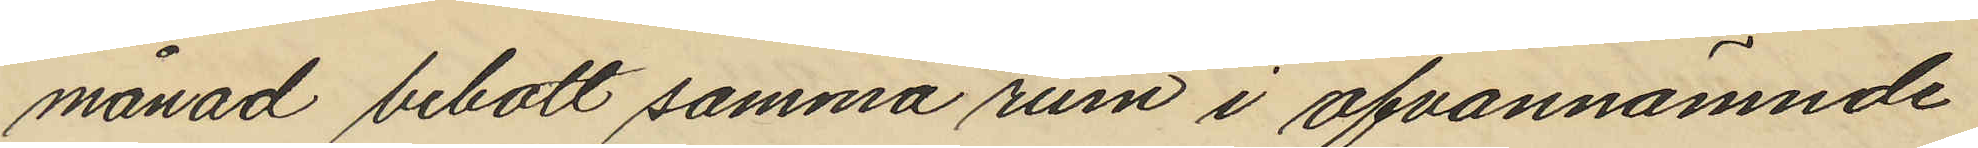månad bebott samma rum i ofvannämnde
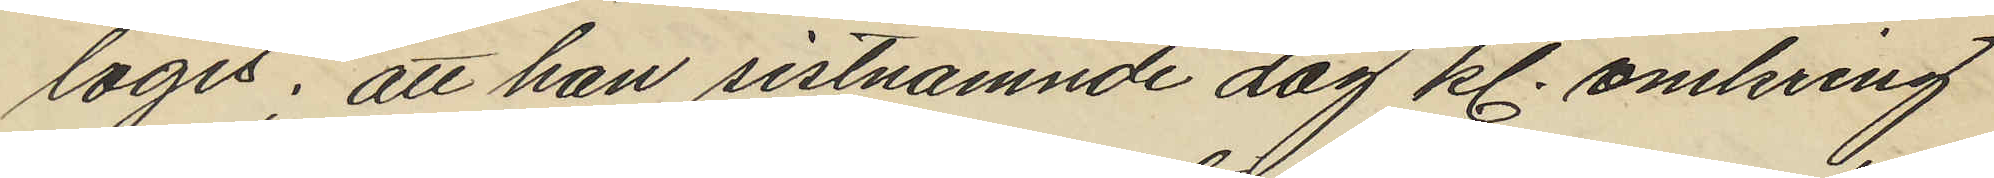logis; att han sistnämnde dag kl. omkring
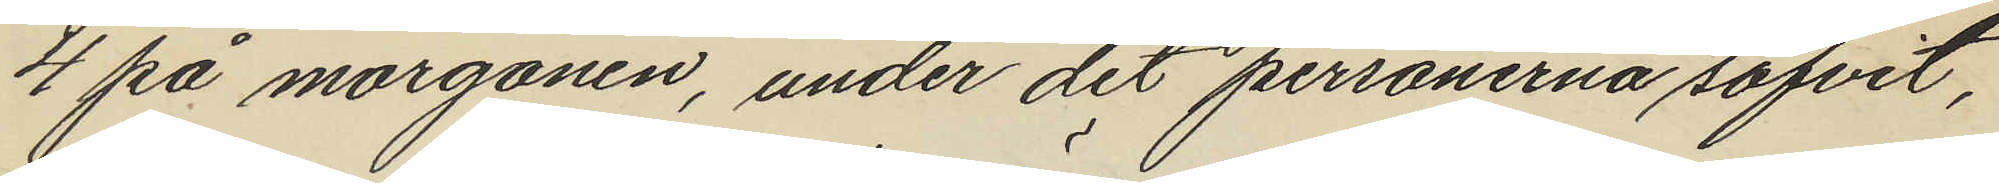4 på morgonen, under det personerna sofvit,
